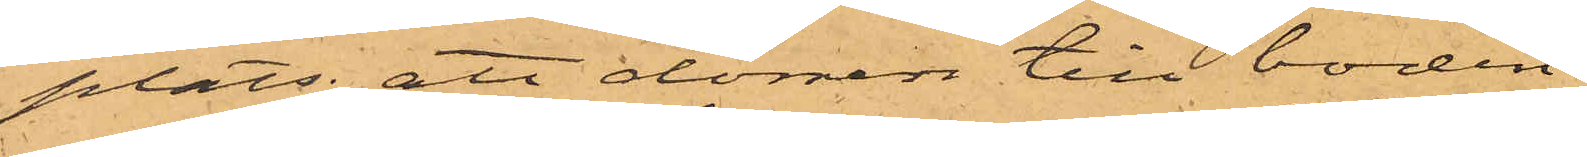plats; att dörren till boden
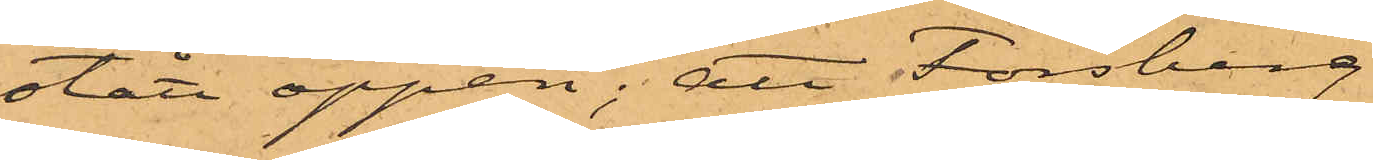stått öppen; att Forsberg
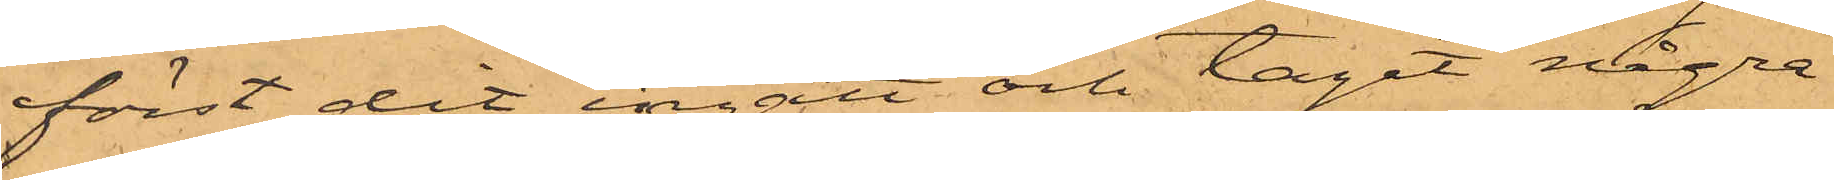först dit ingått och tagit några
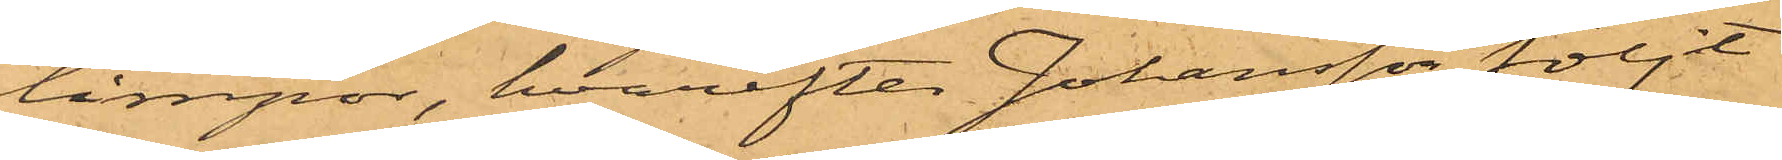limpor, hvarefter Johansson följt
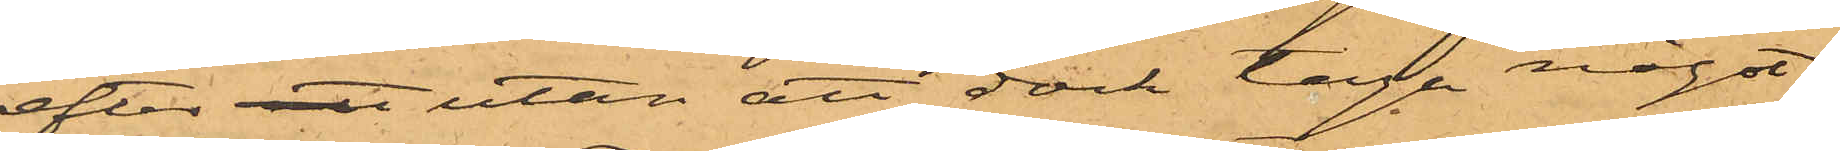efter att utan att dock taga något;
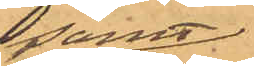samt
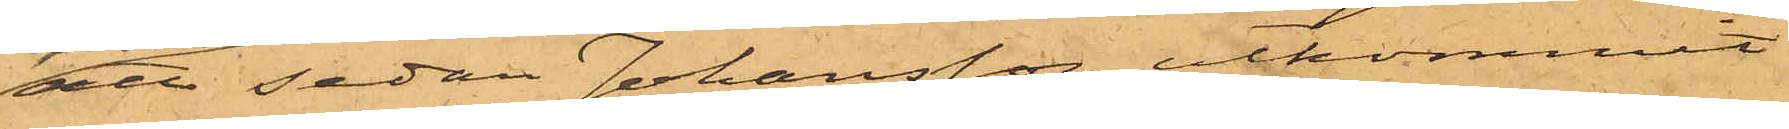att sedan Johansson utkommit
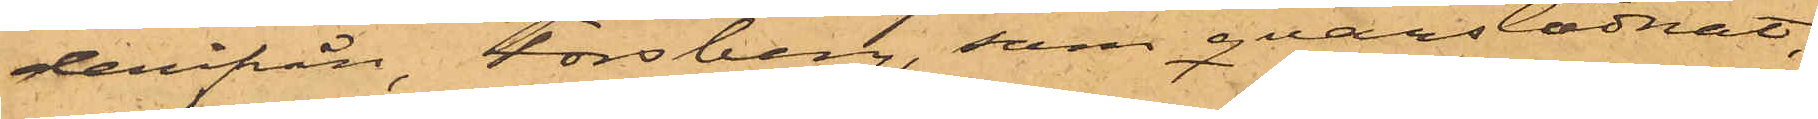derifrån, Forsberg, som qvarstadnat,
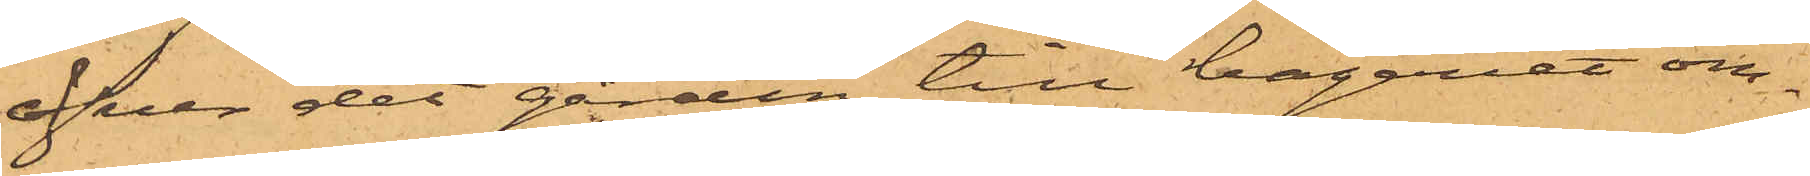över det gården till bageriet om¬
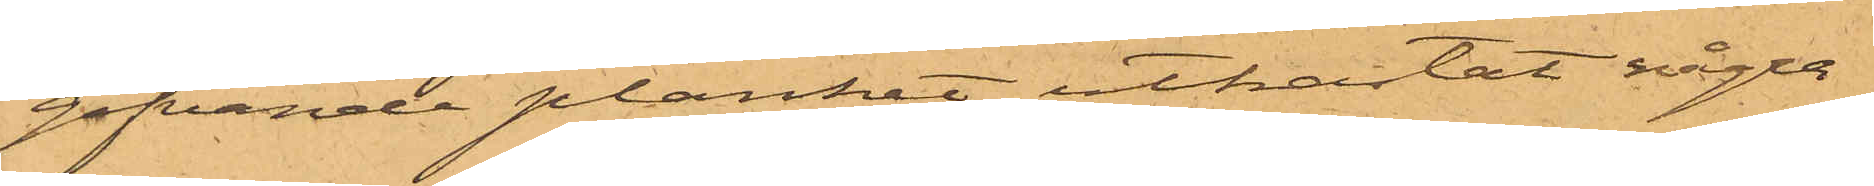gifvande planket utkastat några
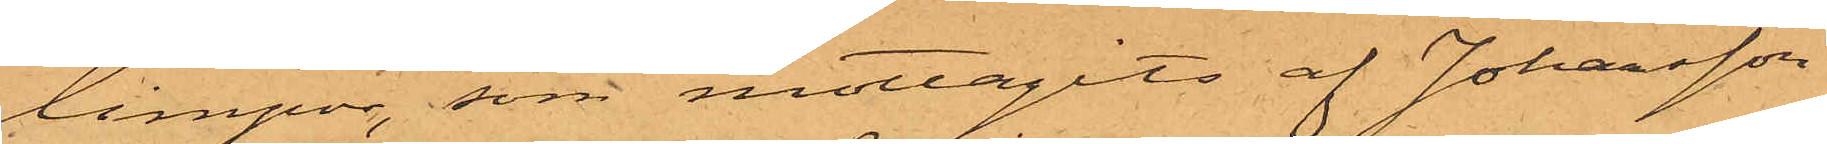limpor, som mottagits af Johansson
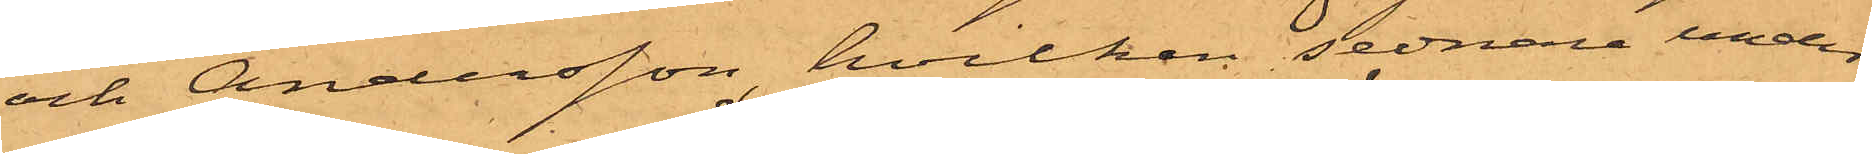och Andersson, hvilken sednare under
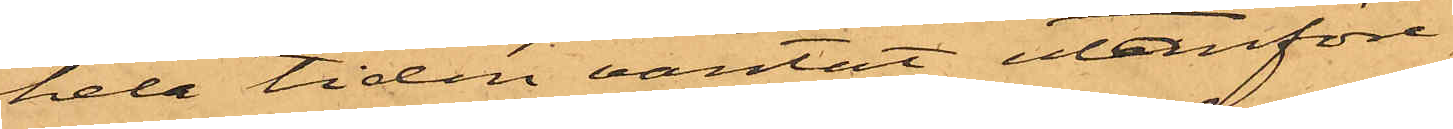hela tiden väntat utanföre
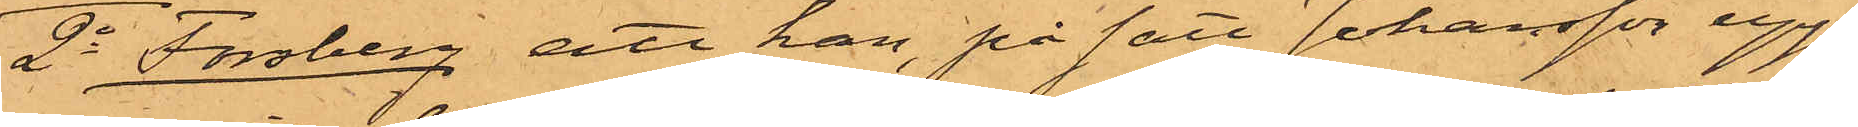2o Forsberg, att han, på sätt Johansson upp¬
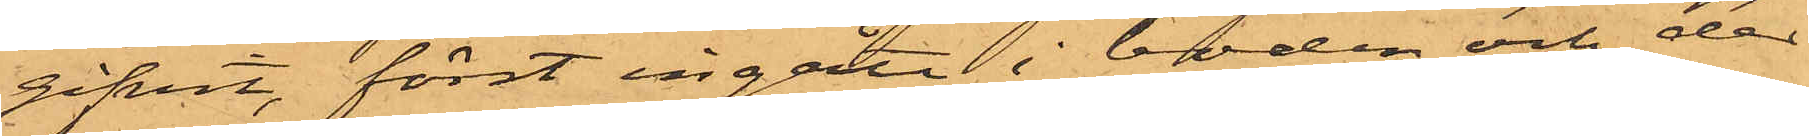gifvit, först ingått i boden och der
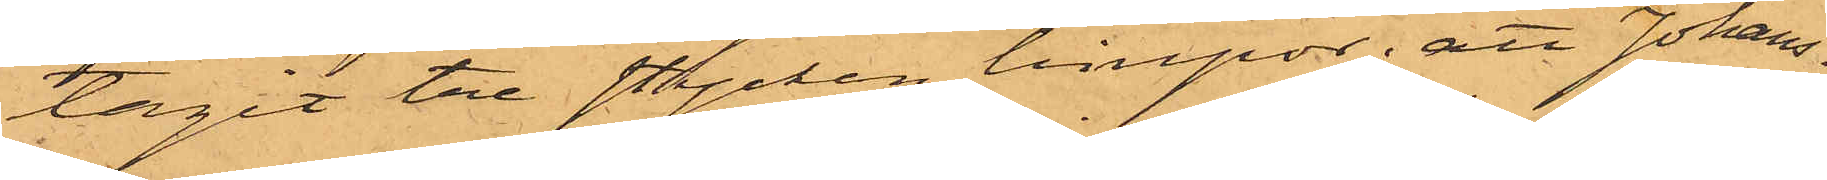tagit tre stycken limpor; att Johans¬
